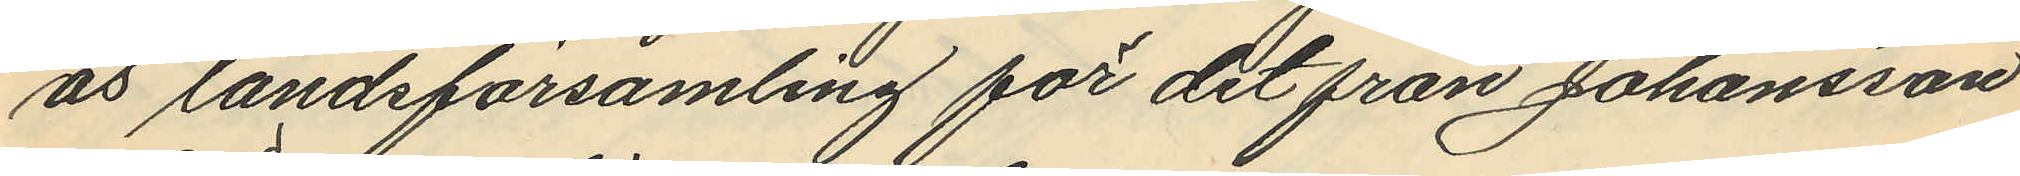ås landsförsamling för det från Johansson
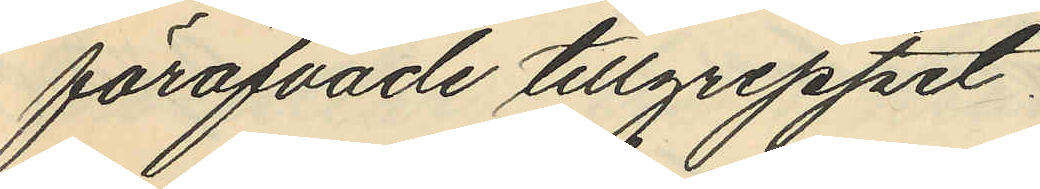föröfvade tillgreppet.
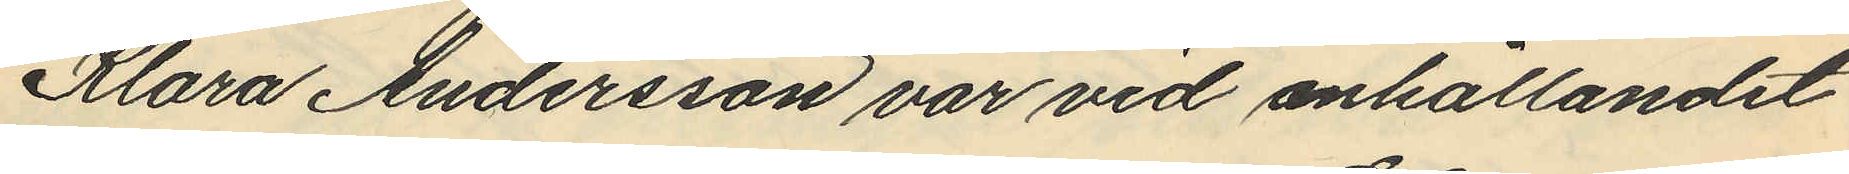Klara Andersson var vid anhållandet
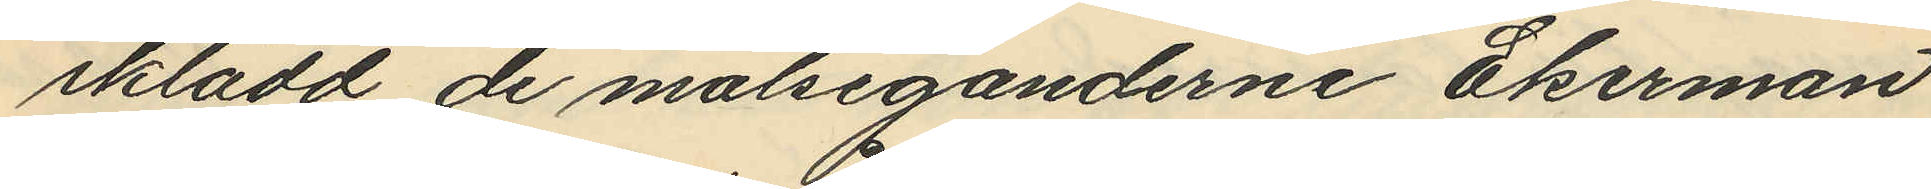iklädd de målseganderne Ekerman
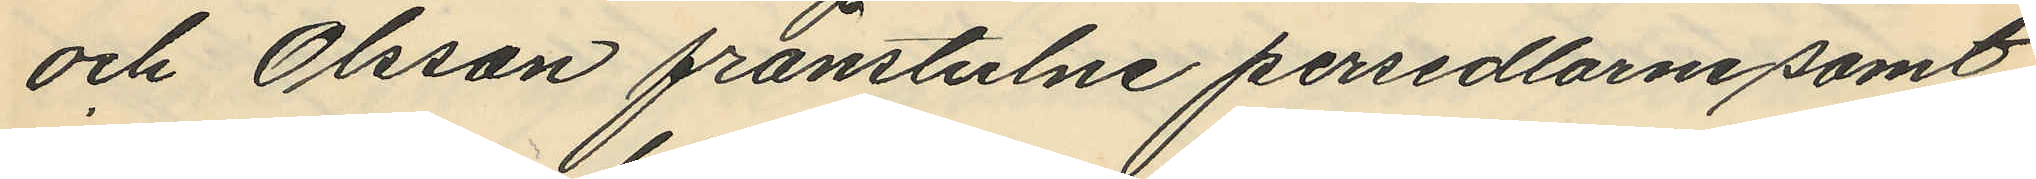och Olsson frånstulne persedlarne samt
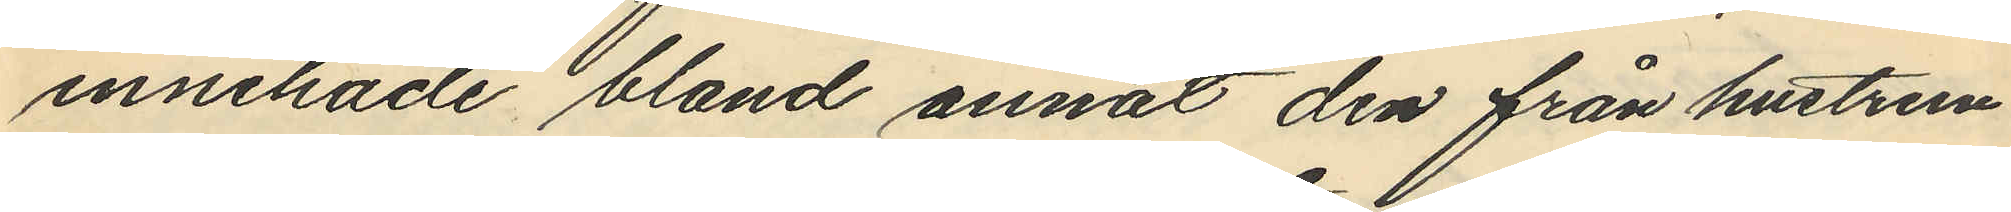innehade bland annat den från hustrun
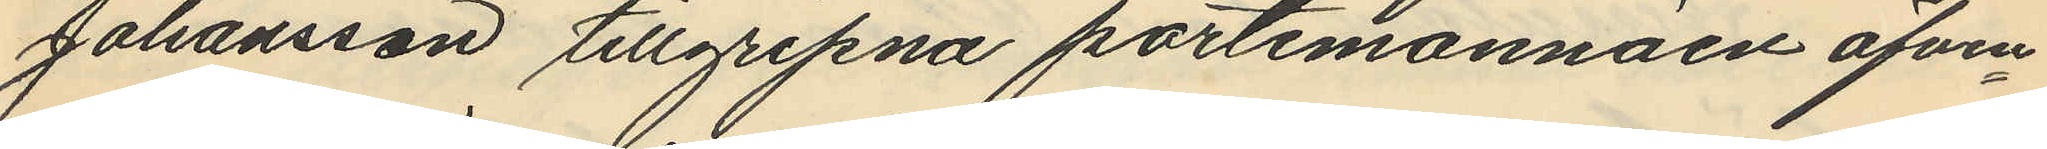Johansson tillgripna portemonnäen äfven¬
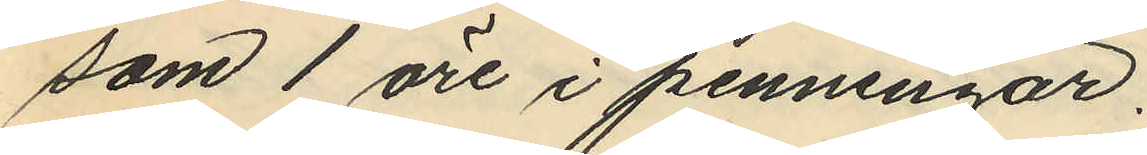som 1 öre i penningar.
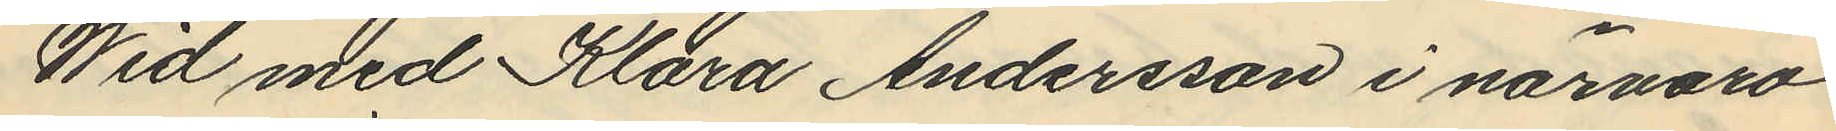Wid med Klara Andersson i närvaro
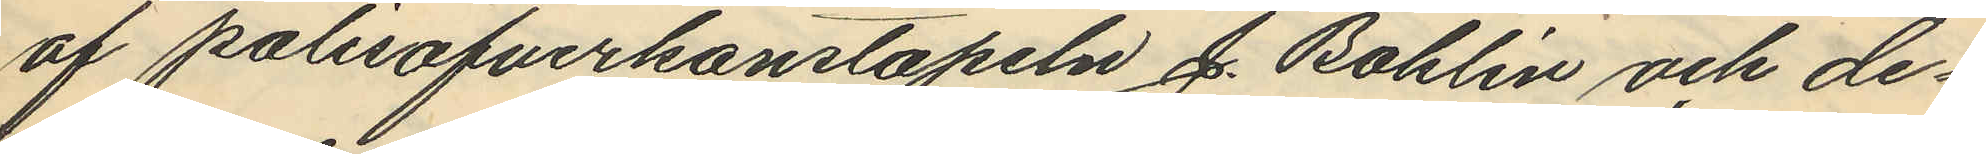af polisöfverkonstapeln J. Bohlin och de¬
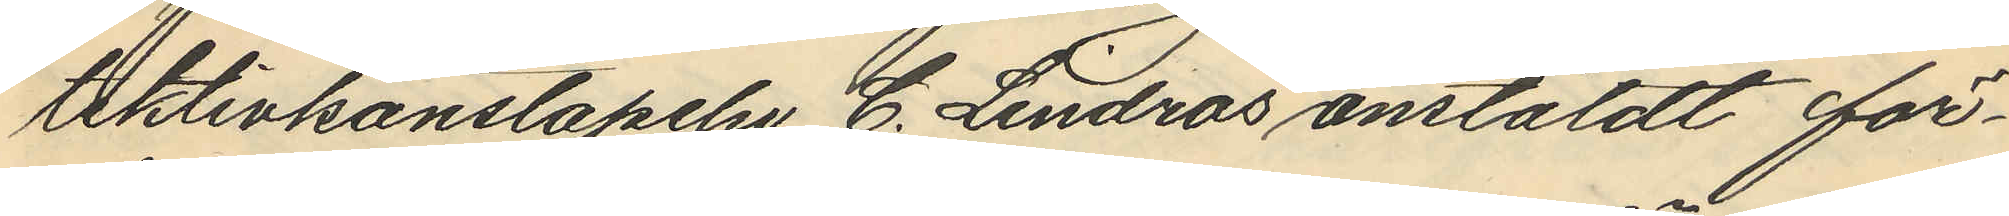tektivkonstapeln C. Lindros anstäldt för¬
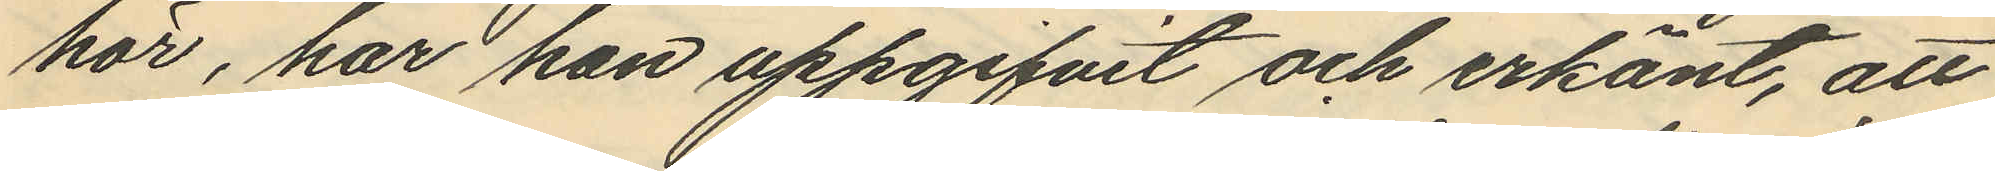hör, har hon uppgifvit och erkänt, att
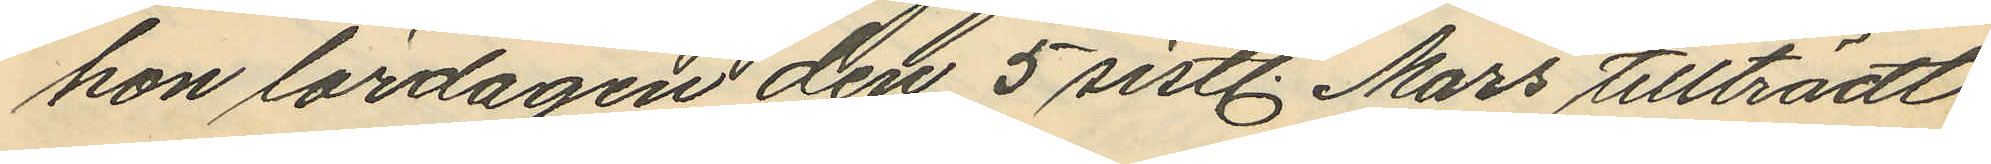hon lördagen den 5 sistl. Mars tillträdt
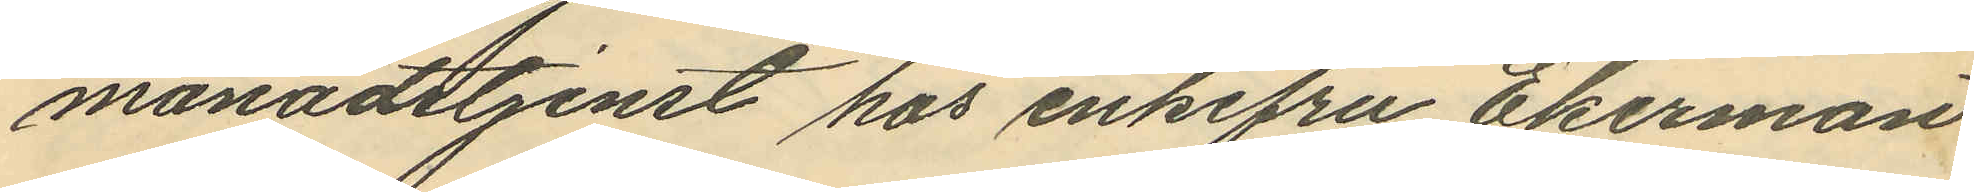månadstjenst hos enkefru Ekerman
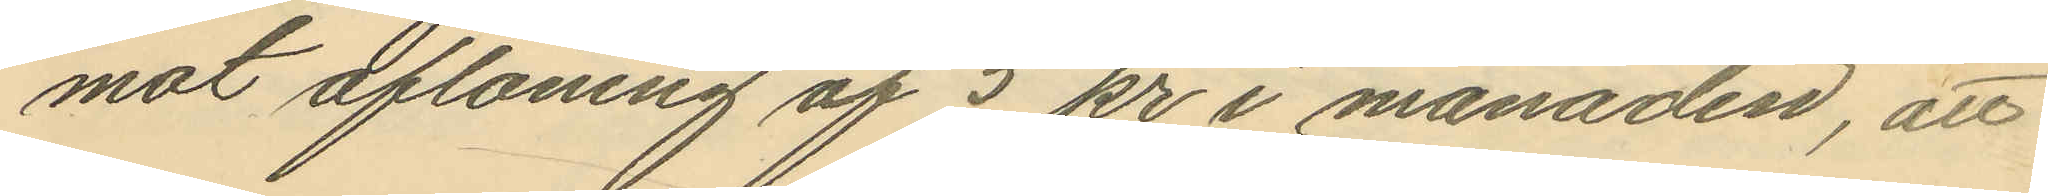mot aflöning af 5 kr i månaden, att
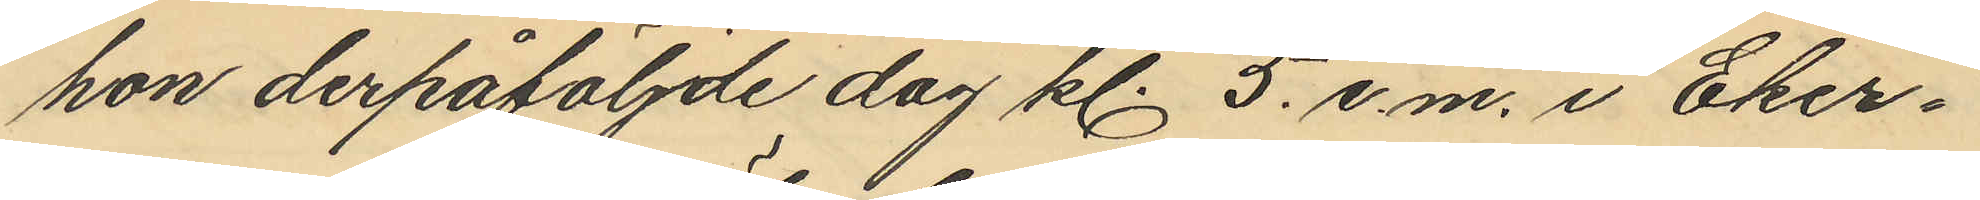hon derpåföljde dag kl. 5. e.m. i Eker¬
